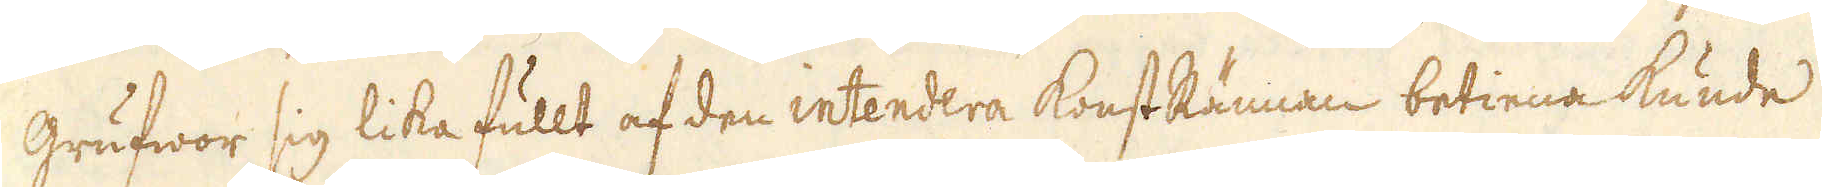grufwor sig lika fullt af den intendera KonstRännan betiena kunde
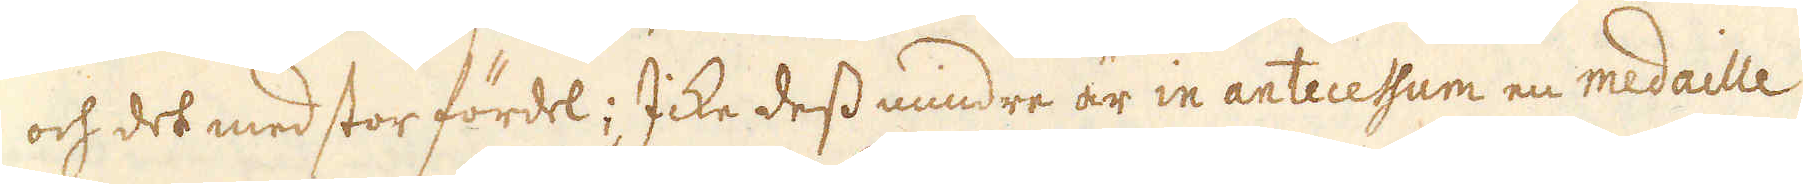och det med stor fördel; Icke dess mindre är in antecessum en medaille
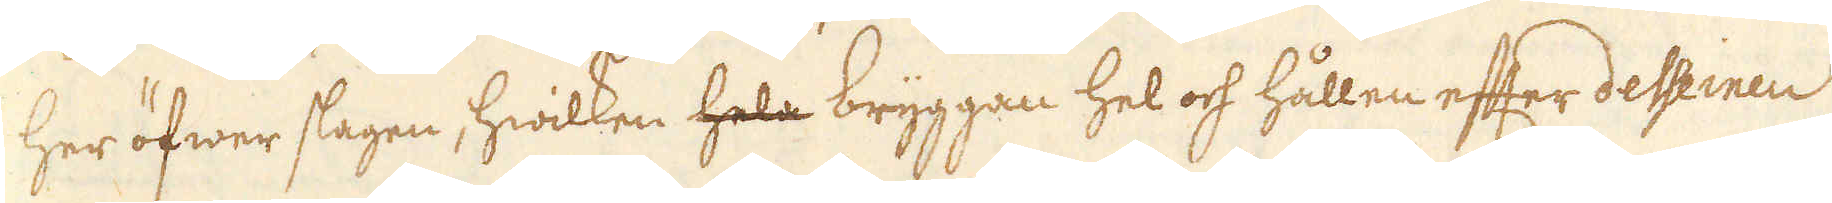her öfwer slagen, hwilken hela bryggan hel och hållen efter desseinen
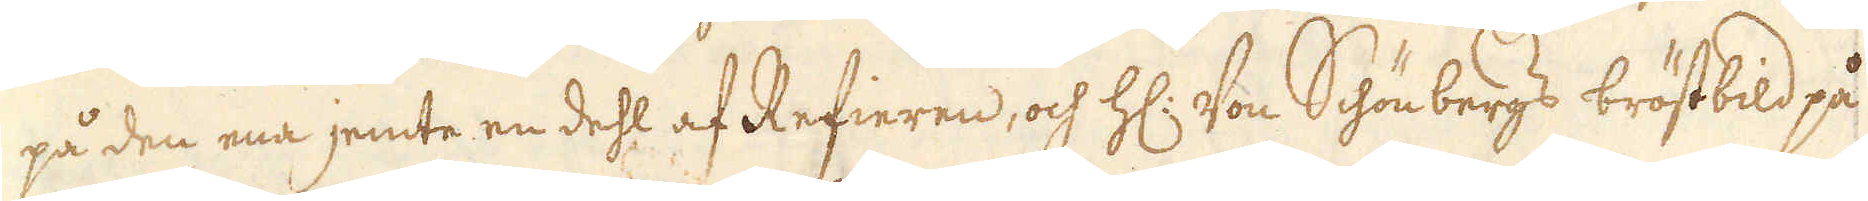på den ena jemte en dehl af Refieren, och H: Von Schönbergs bröstbild på
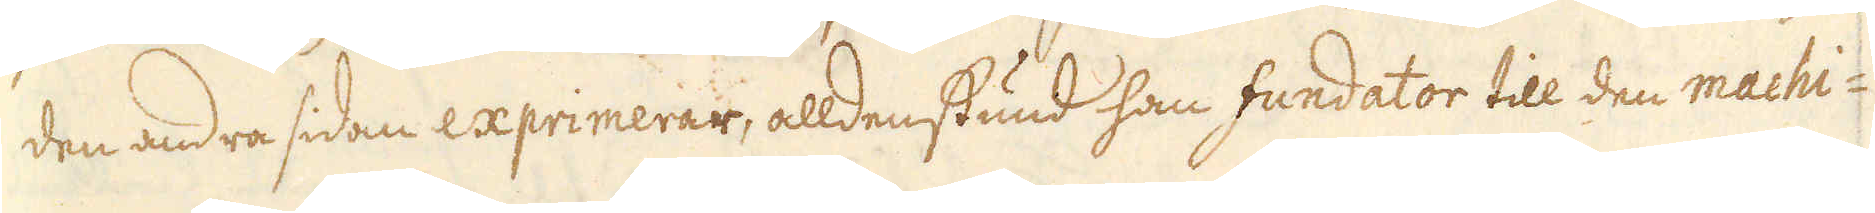den andra sidan exprimerar, alldenstund han fundator till den machi-
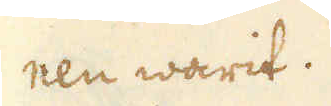nen warit.
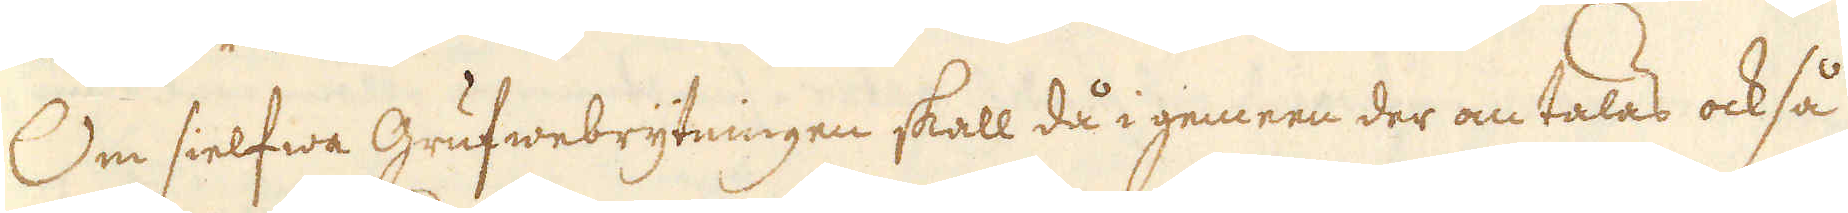Om sielfwa Grufwebrytningen skall då i gemeen der om talas också
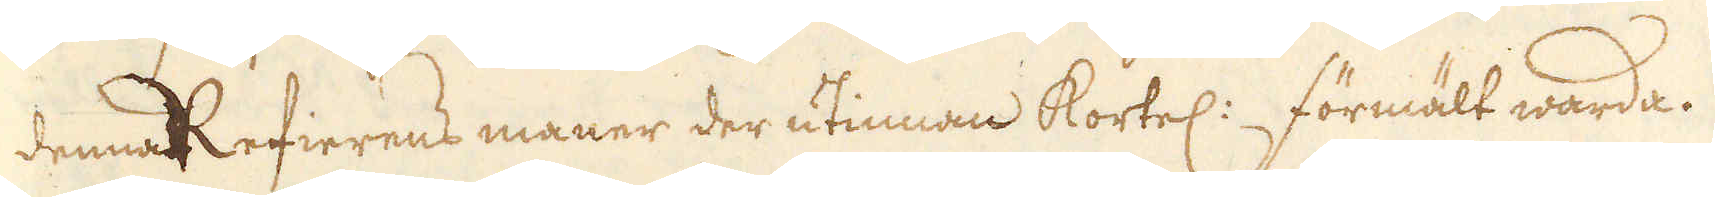denna Refierens maner der utinnan kortel: förmält warda.
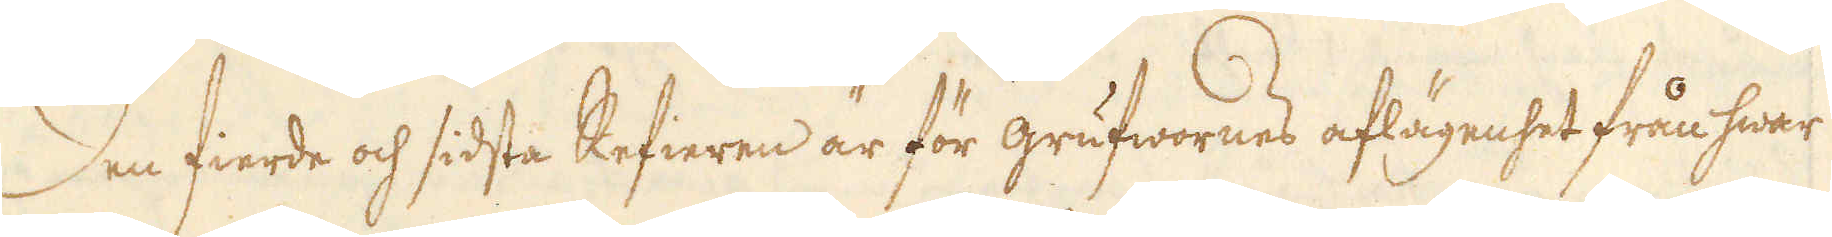Den fierde och sidsta Refieren är för grufwornes aflägenhet från hwar
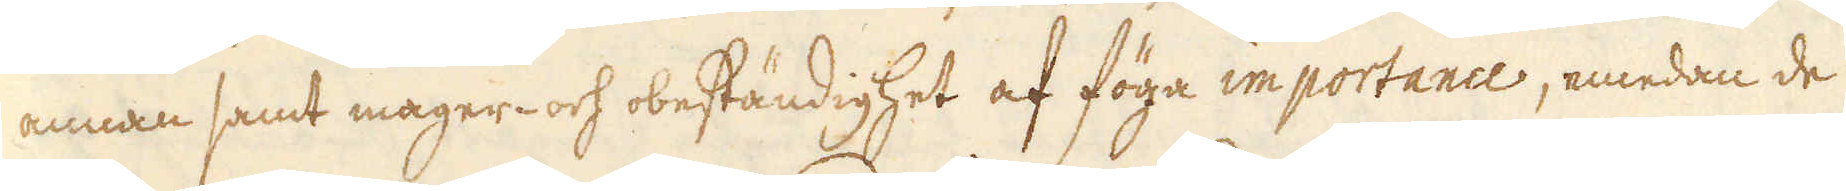annan samt mager- och obeständighet af föga importance, emedan de
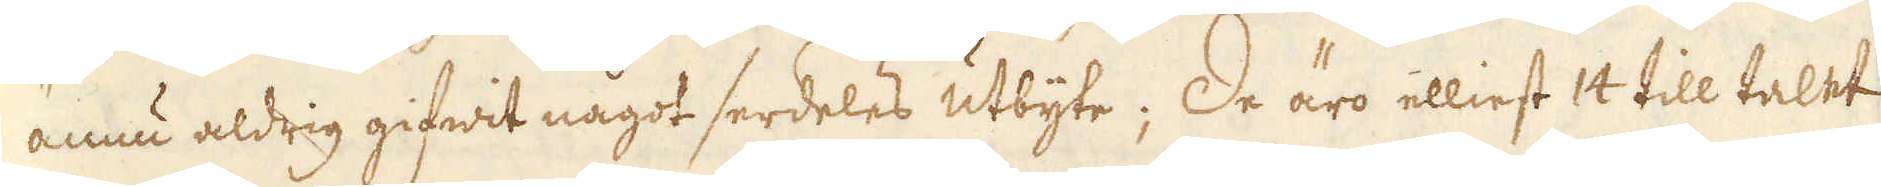ännu aldrig gifwit något serdeles utbyte; De äro elliest 14 till talet
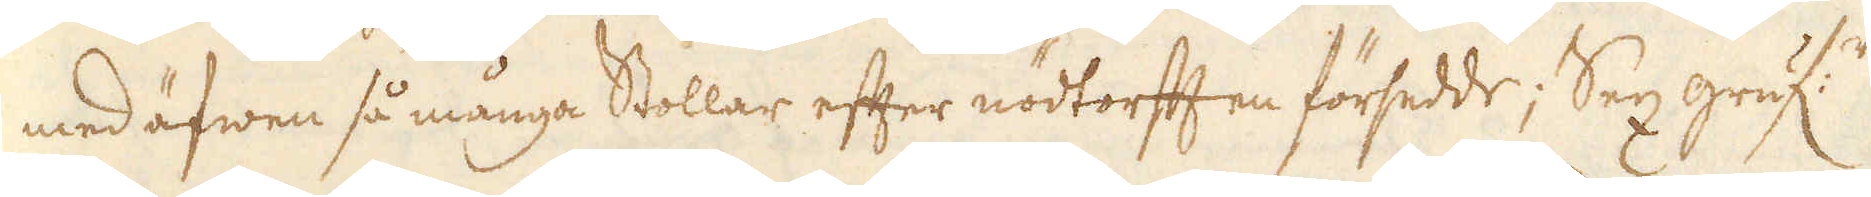med äfwen så många Stollar efter nödtorfften försedde; Sex gruf:r
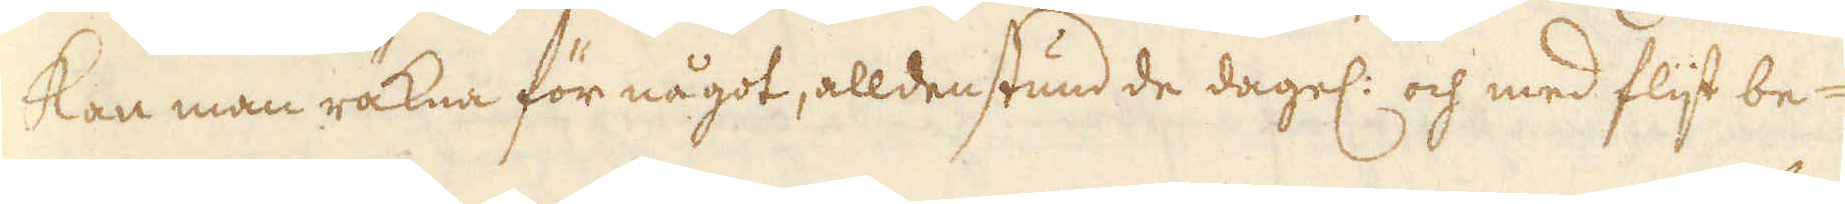kan man räkna för något, alldenstund de dagel: och med flijt be-
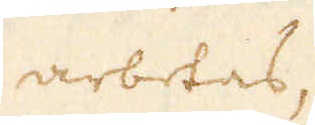arbetas,
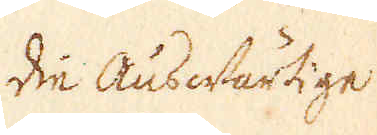die Auswärtige.
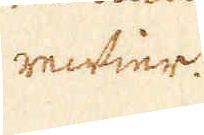refier.
